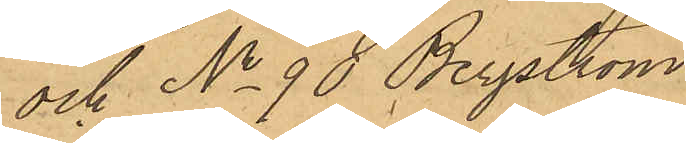och No 90 Bergström
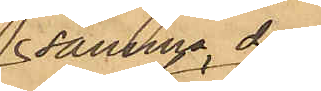samma dag
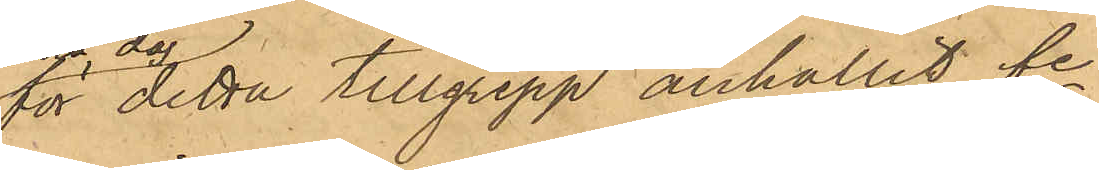för detta tillgrepp anhållit fe
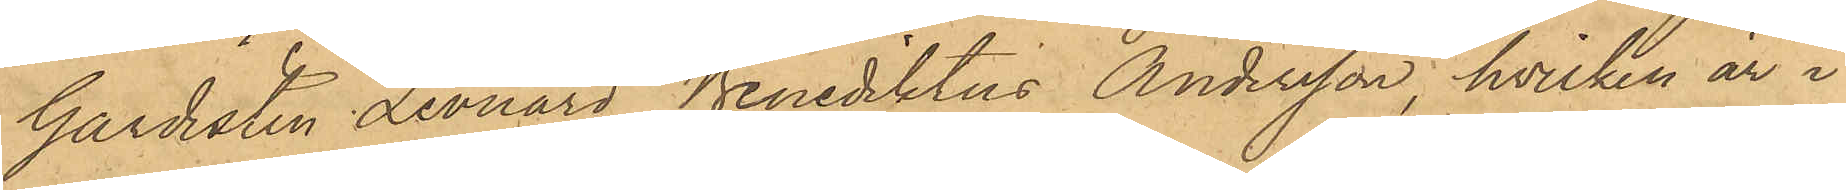Gardisten Leonard Benediktus Andersson, hvilken är i
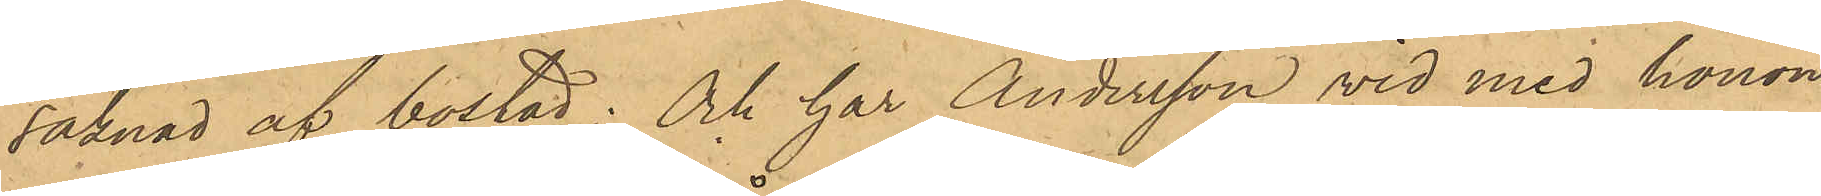saknad af bostad; och har Andersson vid med honom
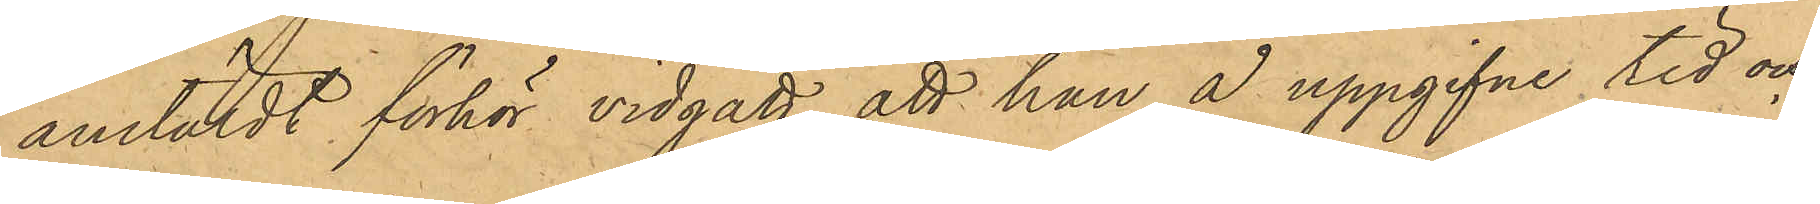anstäldt förhör vidgått, att han å uppgifne tid och
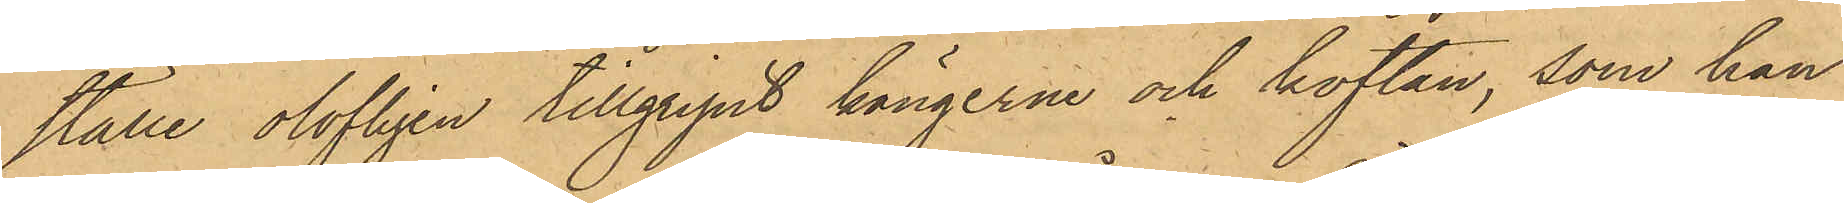ställe olofligen tillgripit kängerna och koftan, som han
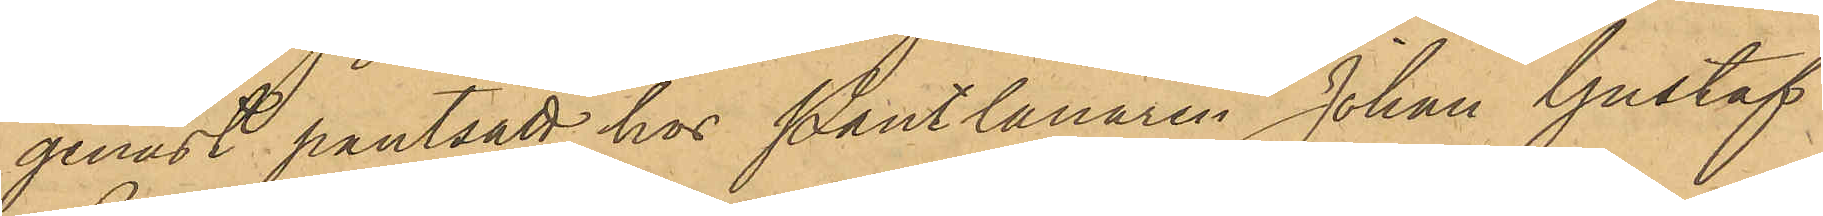genast pantsatt hos Pantlånaren Johan Gustaf
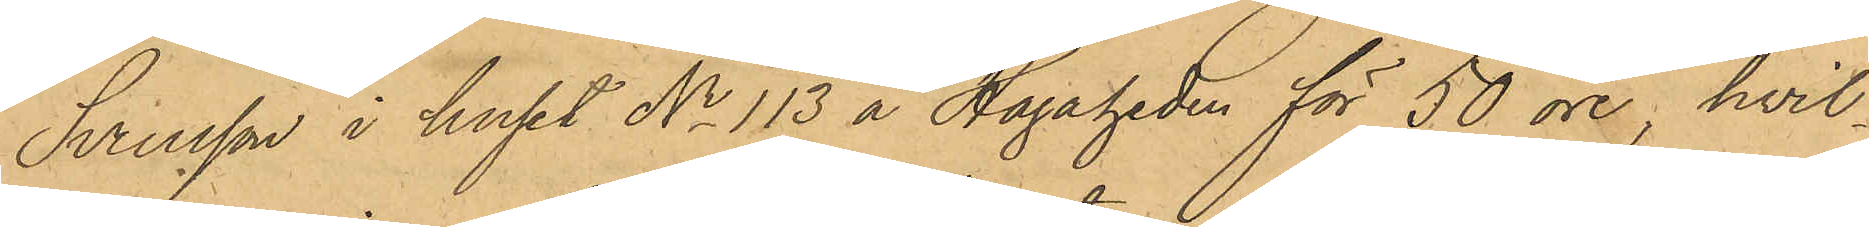Svensson i huset No 113 å Hagaheden för 50 öre, hvil¬
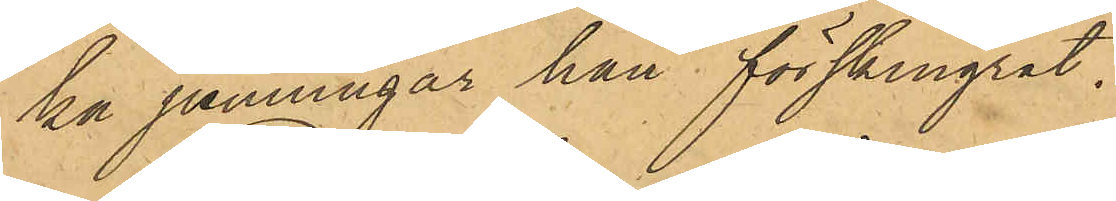ka penningar han förskingrat.
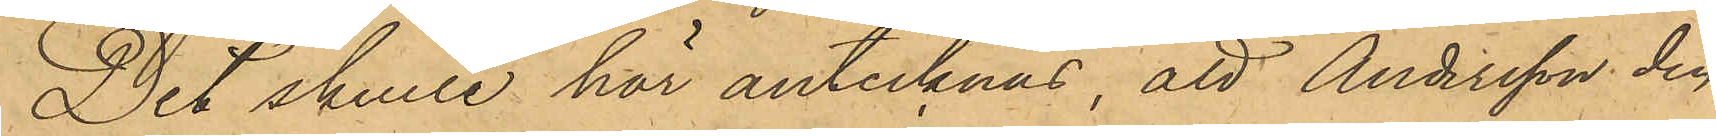Det skulle här antecknas, att Andersson den
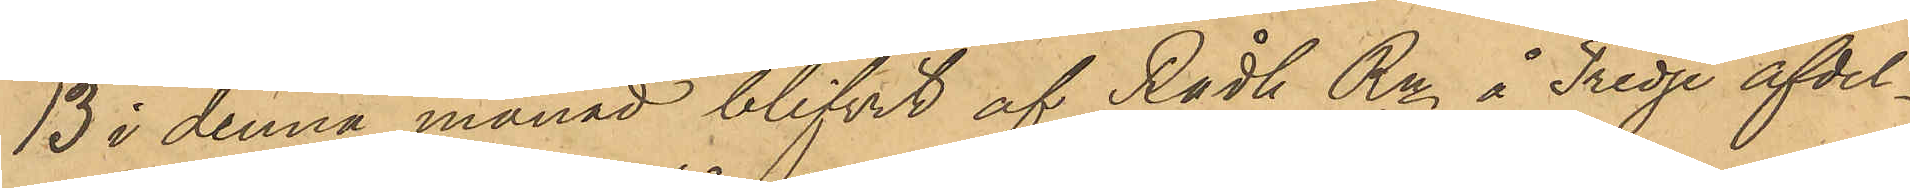13 i denna månad blifvit af Rådh Rn å Tredje afdel¬
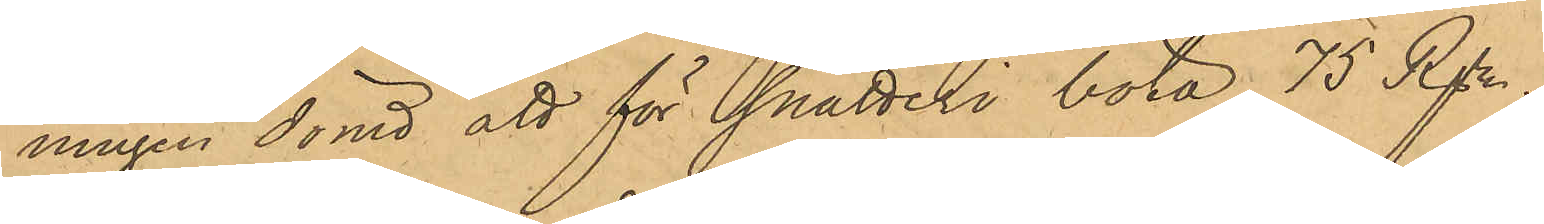ningen dömd att för snatteri böta 75 Rgr.
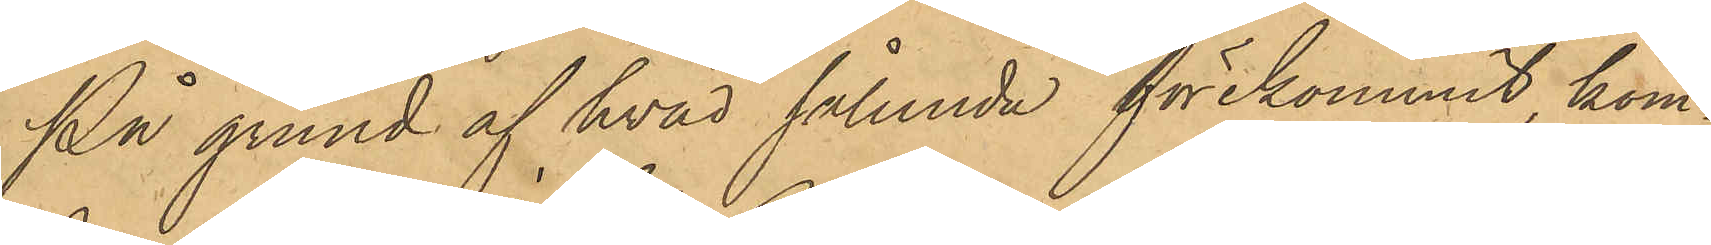På grund af hvad sålunda förekommit, kom¬
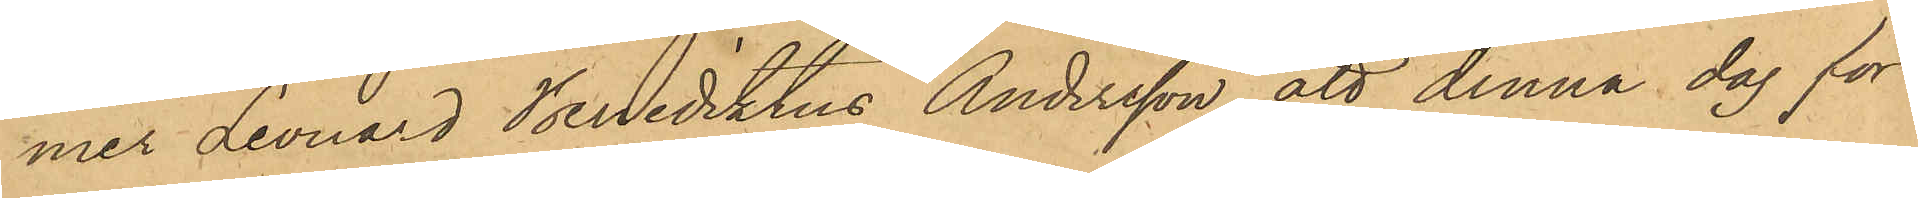mer Leonard Benediktus Andersson att denna dag för
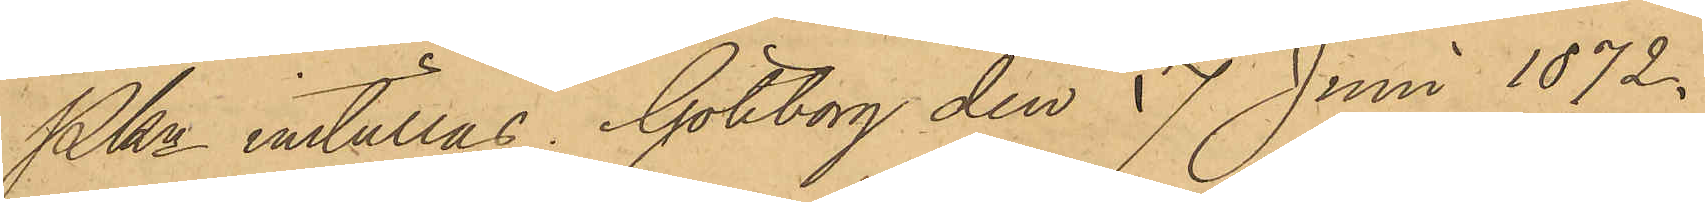Pkn inställas. Göteborg den 17 Juni 1872.
